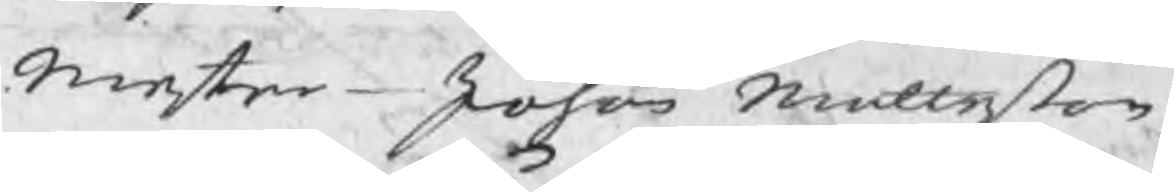Mester Johan Matteßon
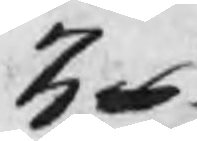3 16
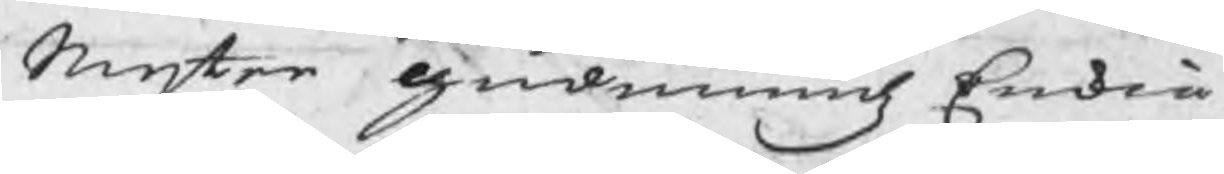Mester Gudmundz Enkia
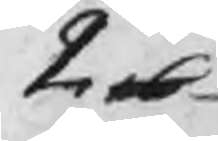2 16
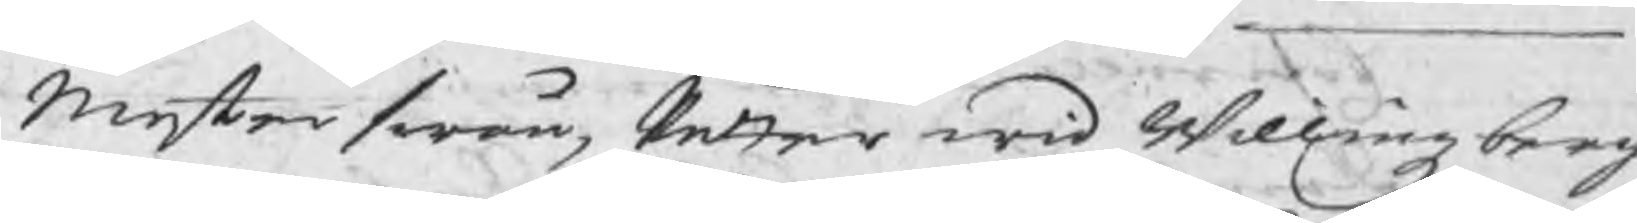Mesterswän Petter wid Willingzberg
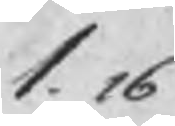1. 16
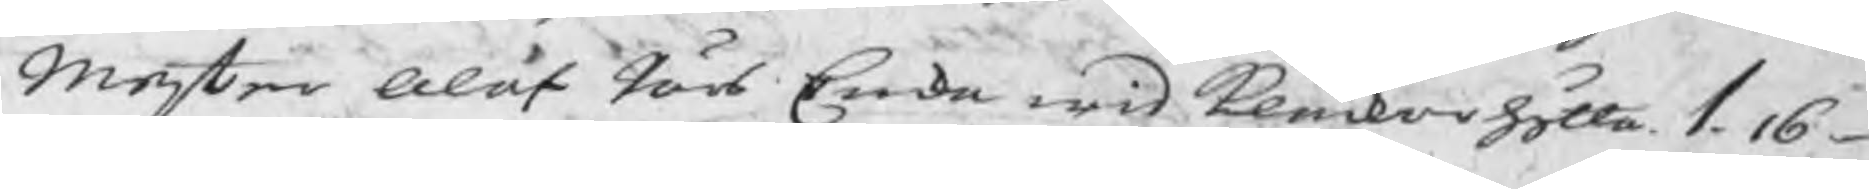Mester Olof Pärs Enka wid Klåckarhytta 1. 16
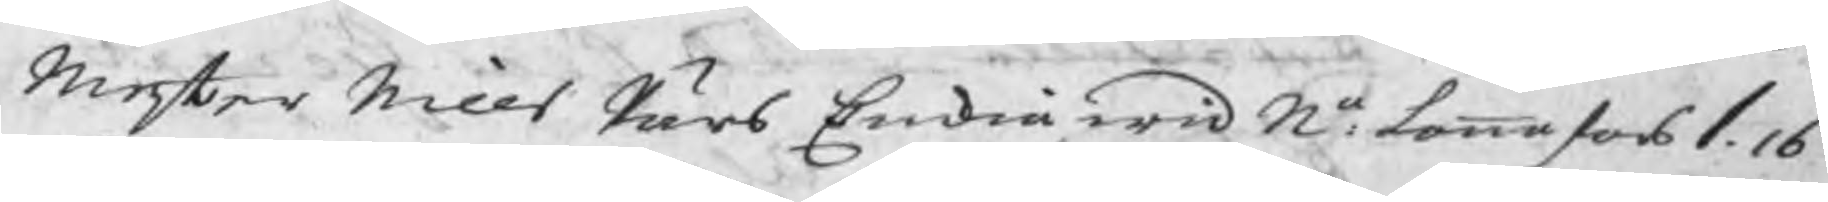Mester Nills Pärs Enkia wid Ne. Lannafors 1. 16
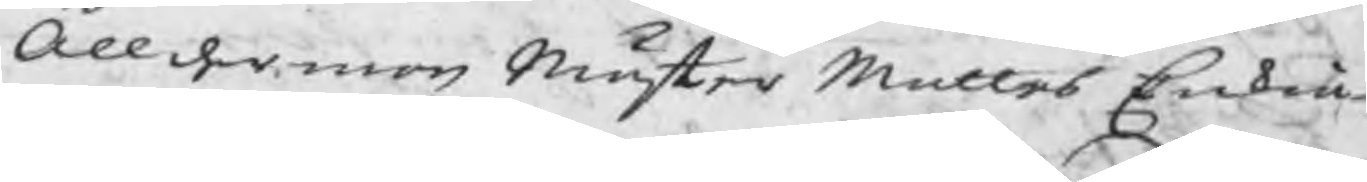Ållderman Mäster Mattes Enkia
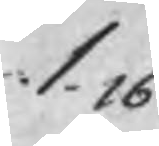1.16
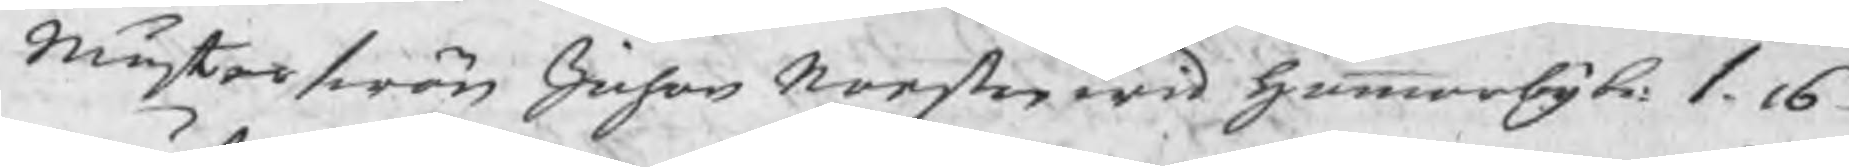Mästerswän Johan Norsten wid Hammarby b: 1.16
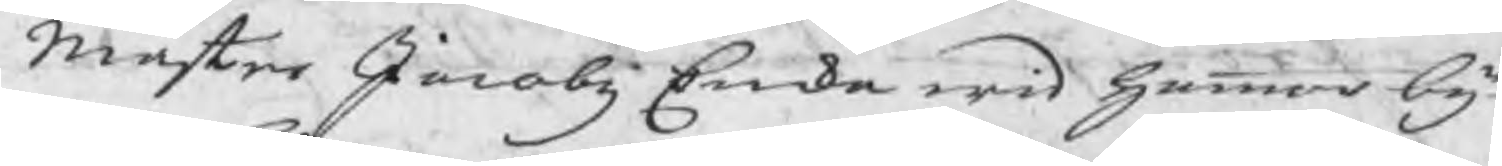Mäster Jacobz Enka wid Hammarby
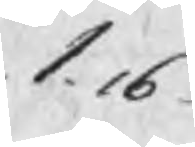1.16
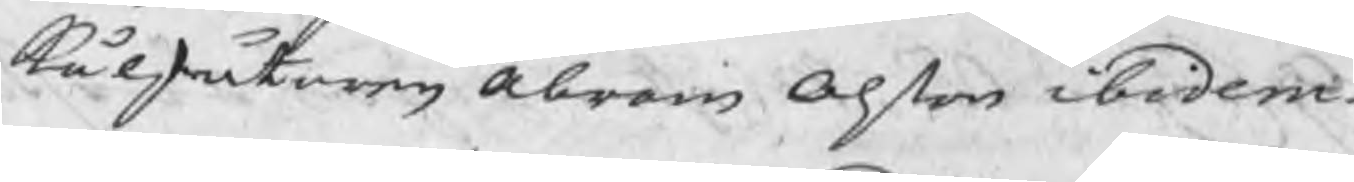Kålskåtaren Abram Olßon ibidem
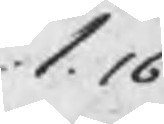1.16
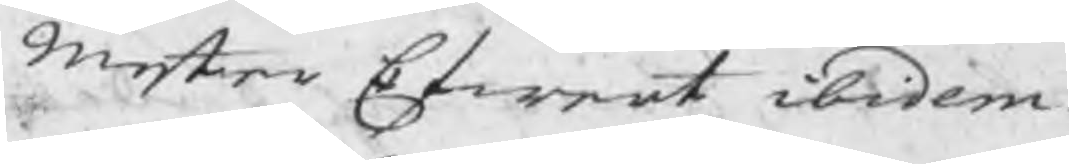Mester Efwert ibidem
